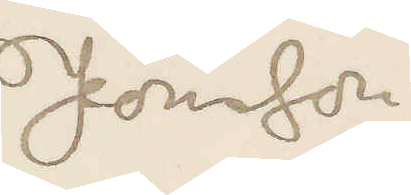Jönsson
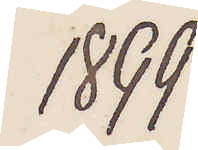1899
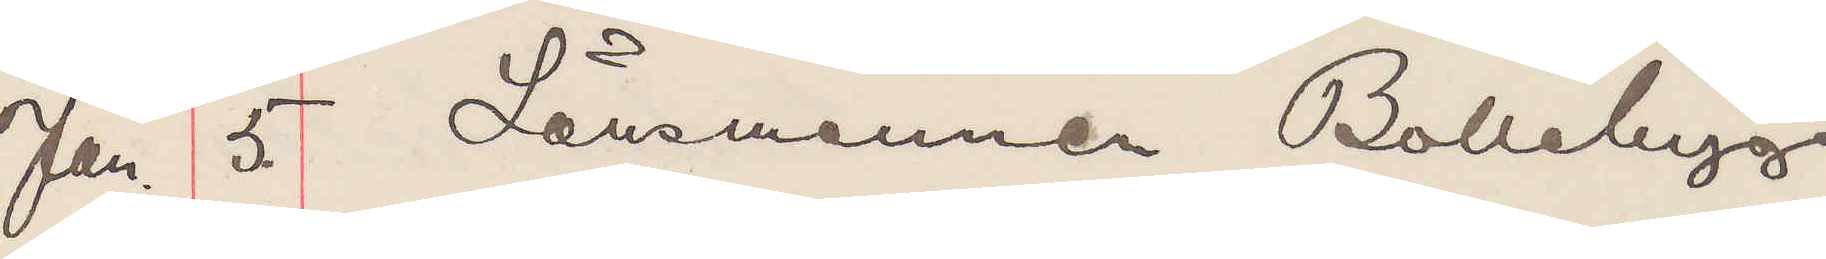Jan. 5. Länsmannen Bollebygd
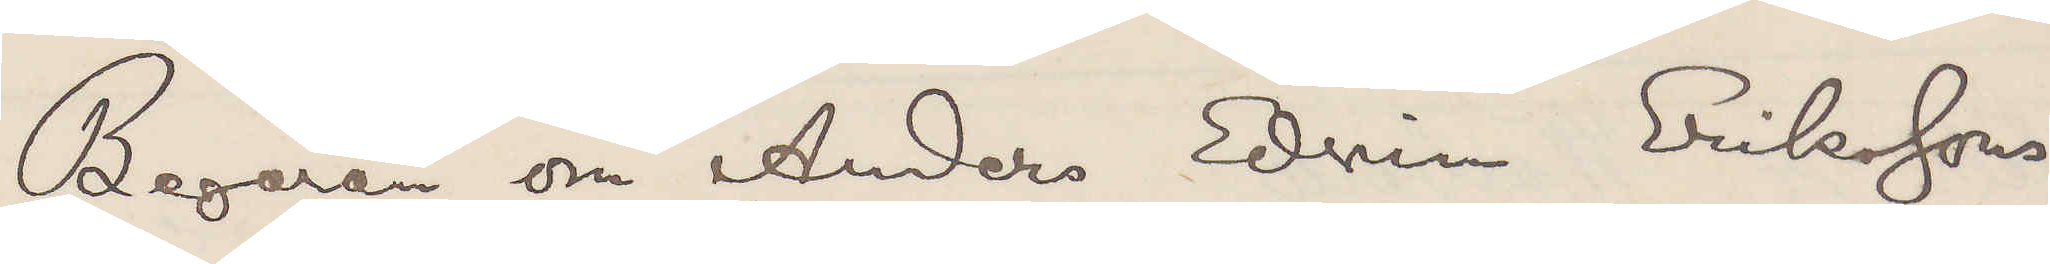Begäran om Anders Edvin Eriksson
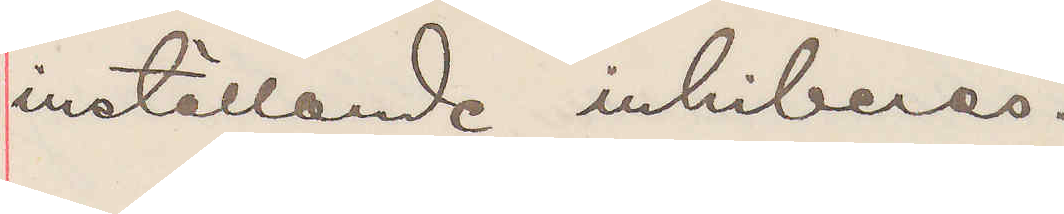inställande inhiberas.
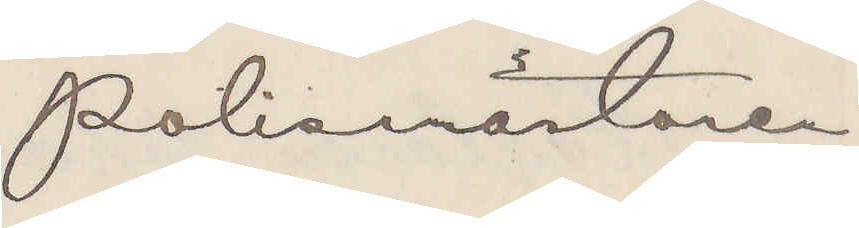Polismästaren
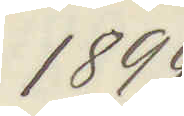1899.
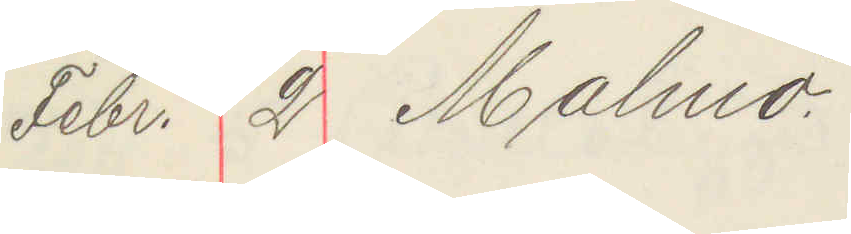Febr. 2 Malmö
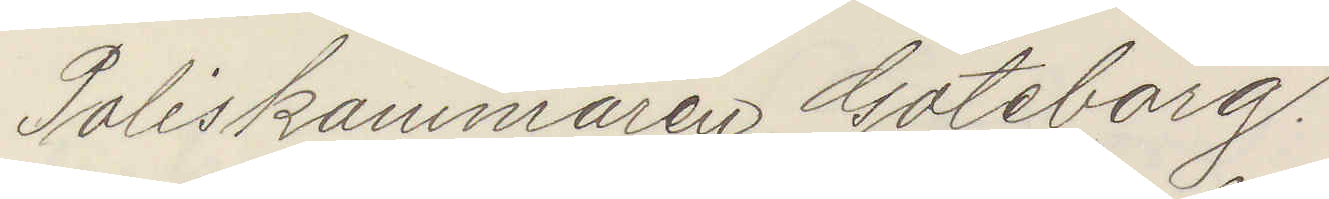Poliskammaren Göteborg.
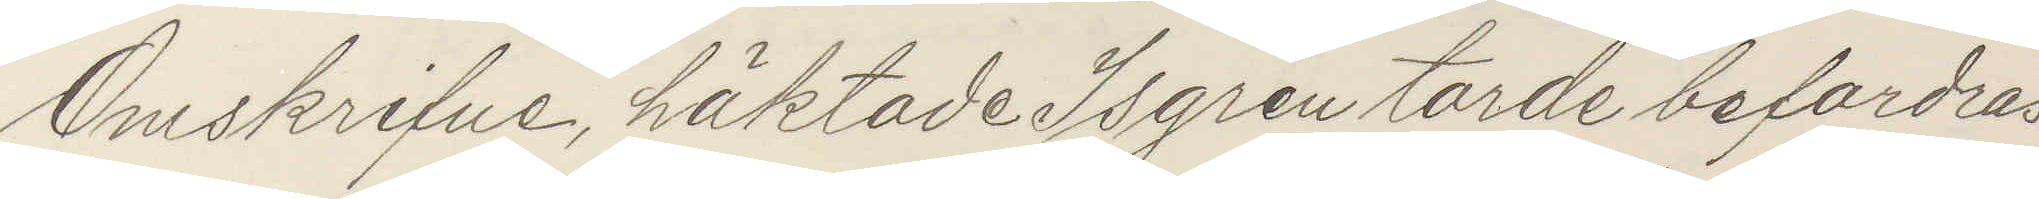Omskrifne häktade Isgren torde befordras
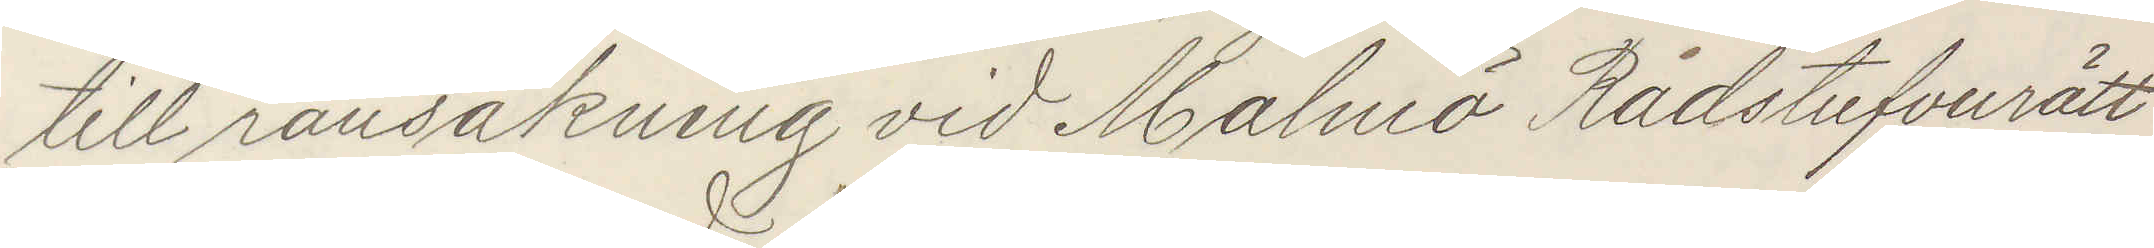till ransakning vid Malmö Rådstufvurätt
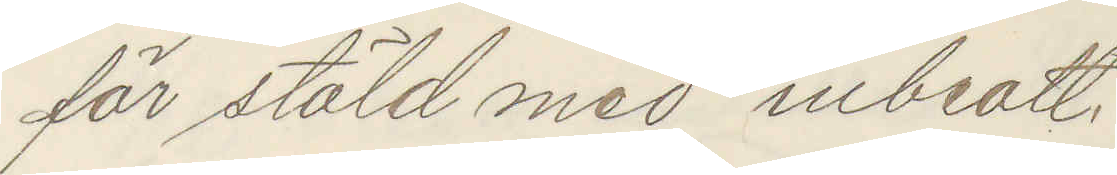för stöld med inbrott
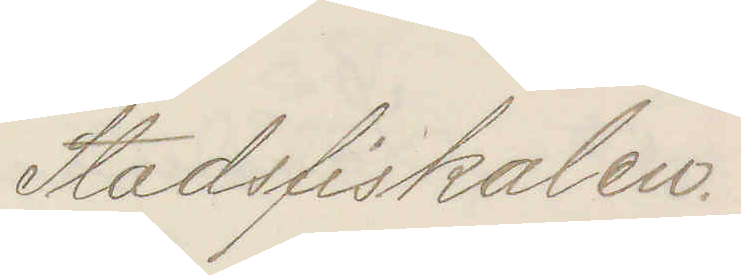Stadsfiskalen
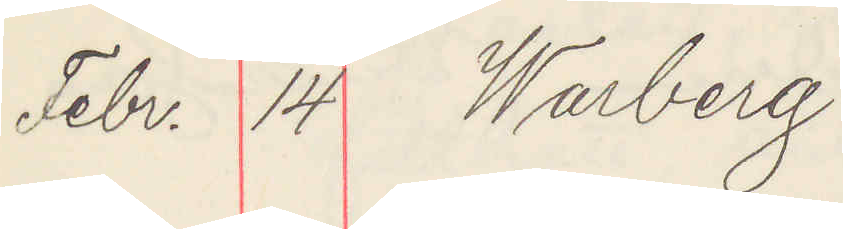Febr. 14 Warberg
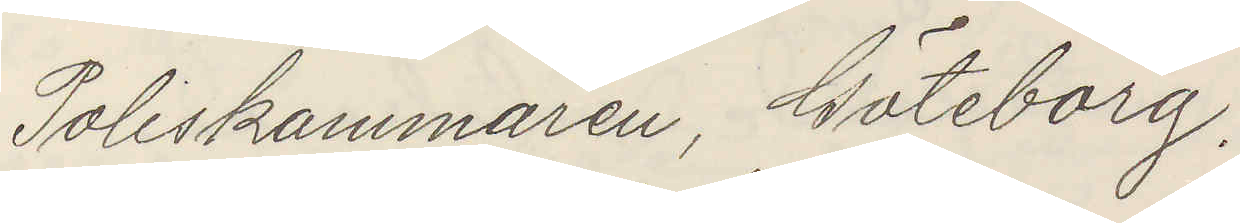Poliskammaren Göteborg.
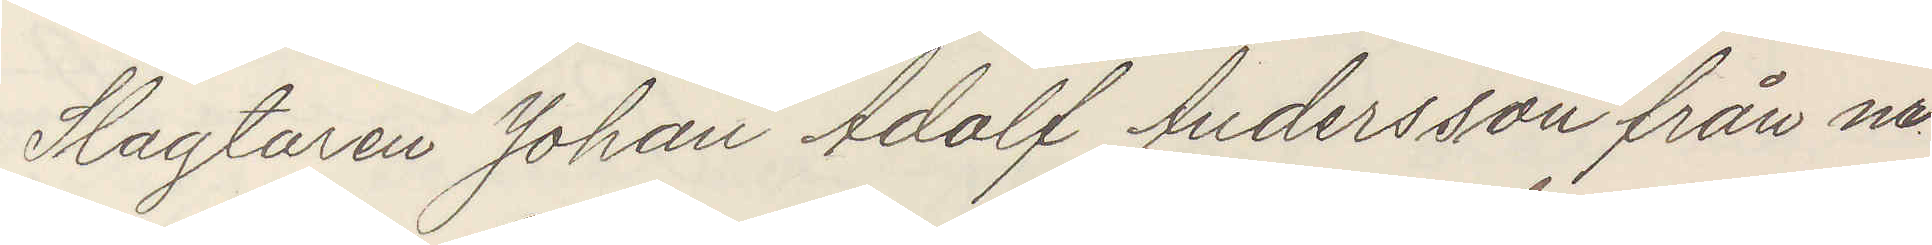Slagtaren Johan Andersson från no
